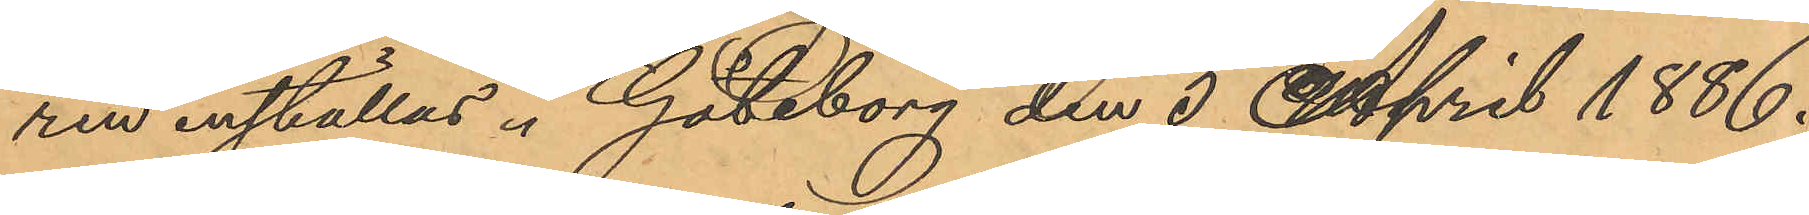ren inställas. Göteborg den 3 April 1886.
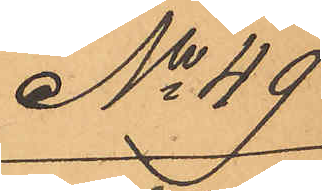No 49
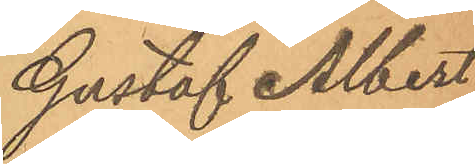Gustaf Albert
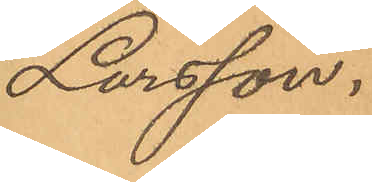Larsson.
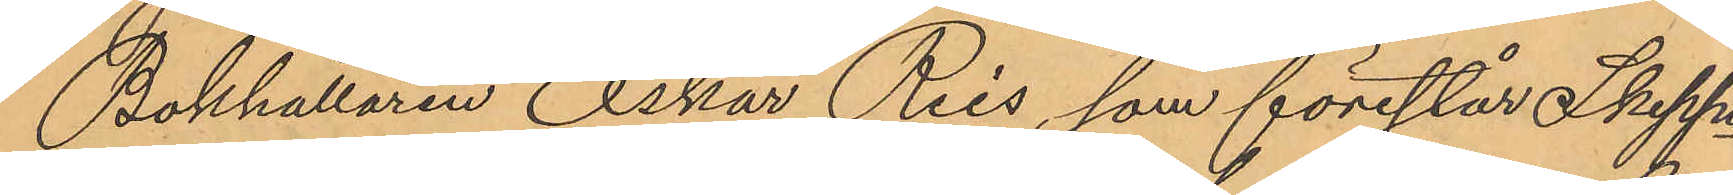Bokhållaren Oskar Reis, som förestår Skepp¬
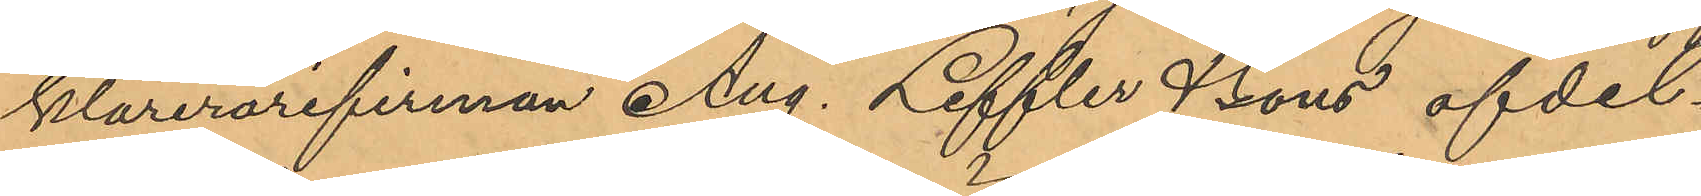klarerarefirman Aug. Leffler & Sons afdel¬
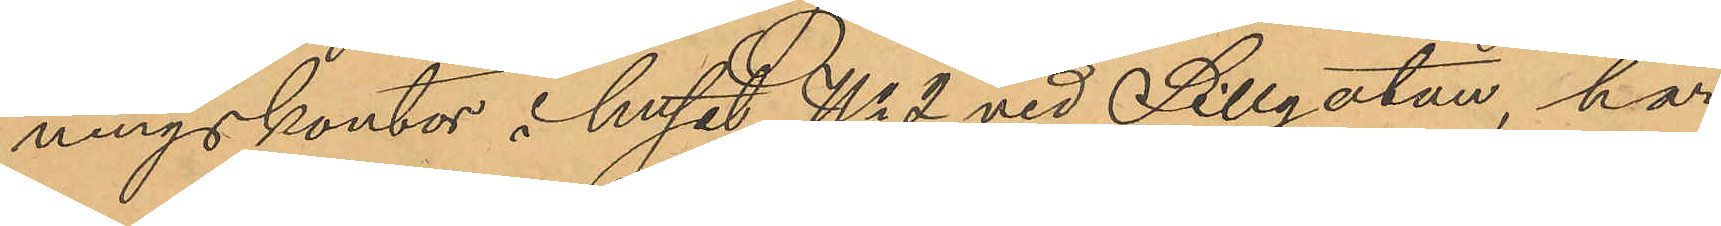ningskontor i huset No 2 vid Sillgatan, har
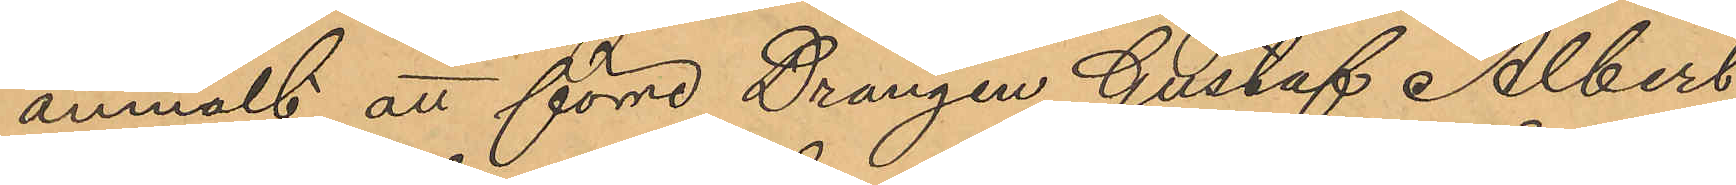anmält att förre Drängen Gustaf Albert
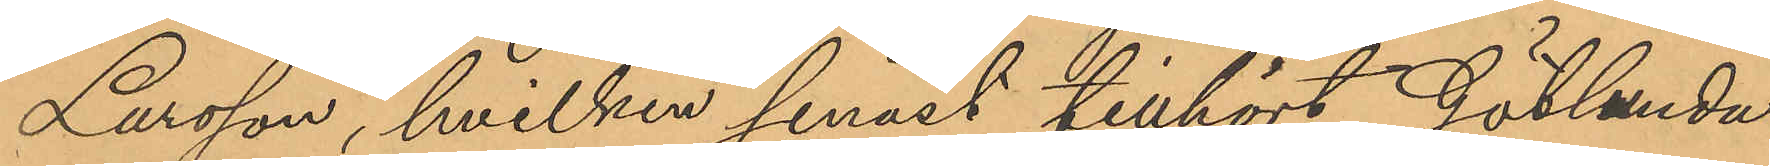Larsson, hvilken senast tillhört Götlunda
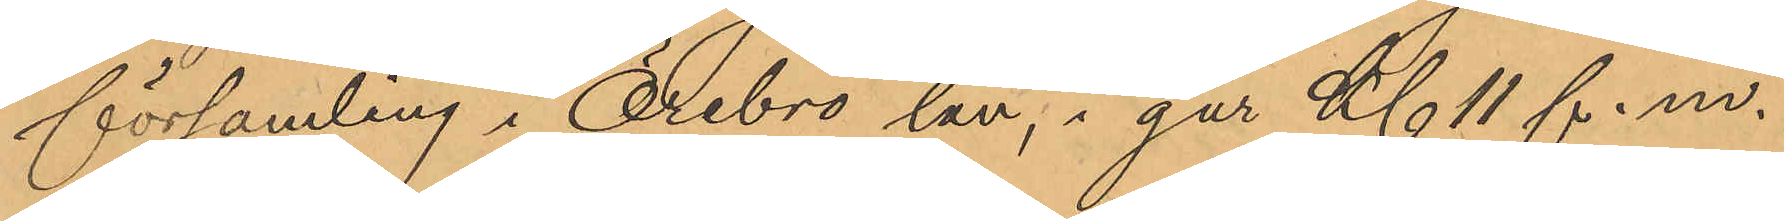församling i Örebro län, i går Kl 11 f.m.
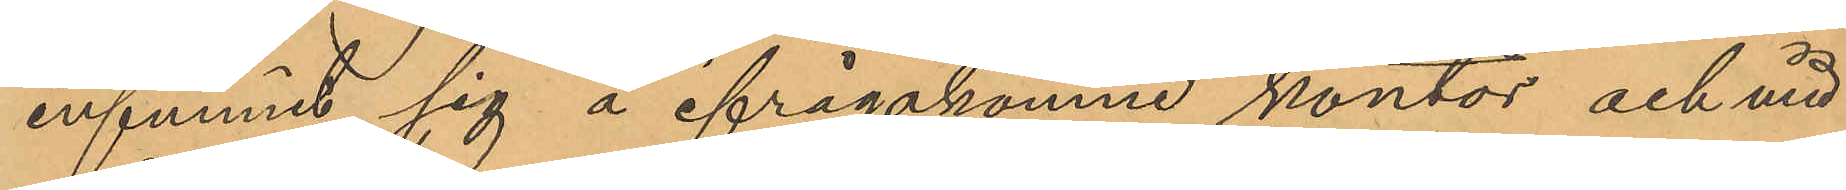infunnit sig å ifrågakomne kontor och vid
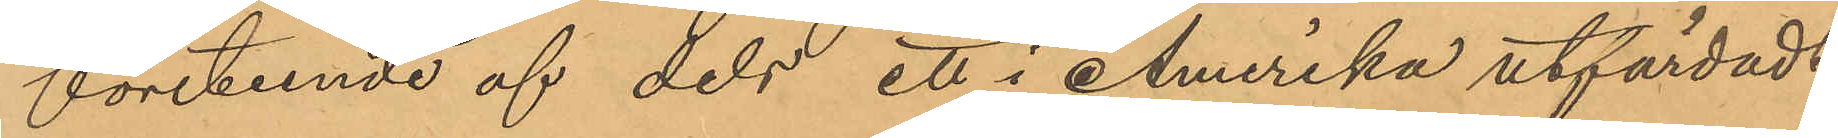företeende af dels ett i Amerika utfärdadt
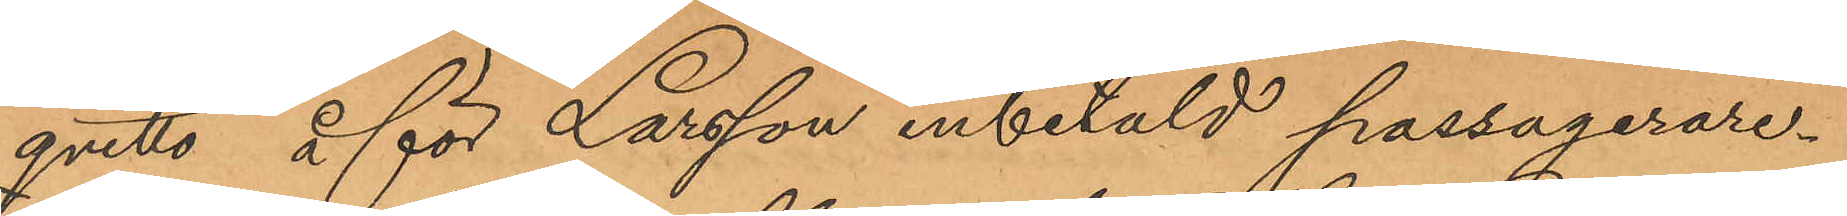qvitto, å för Larsson inbetald passagerare¬
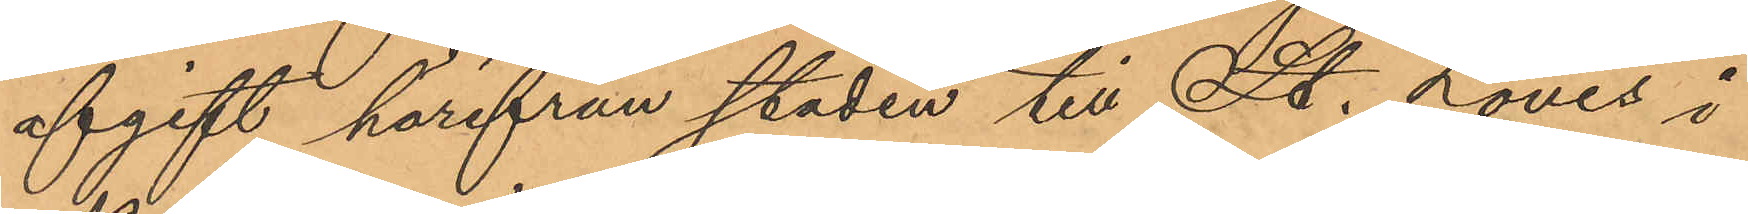afgift härifrån staden till St. Louis i
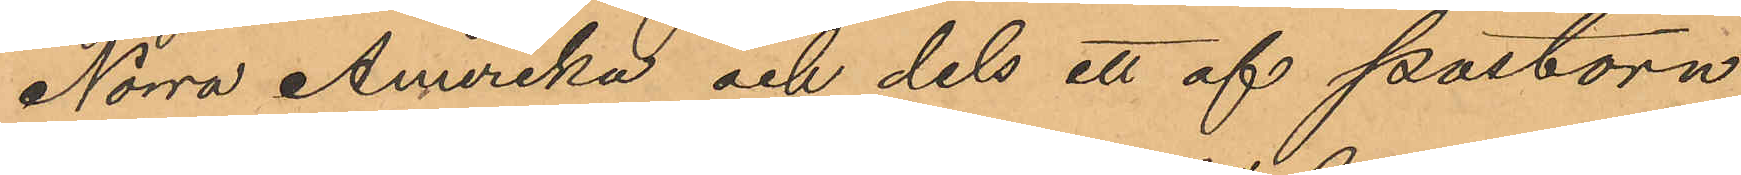Norra Amerika och dels ett af pastorn
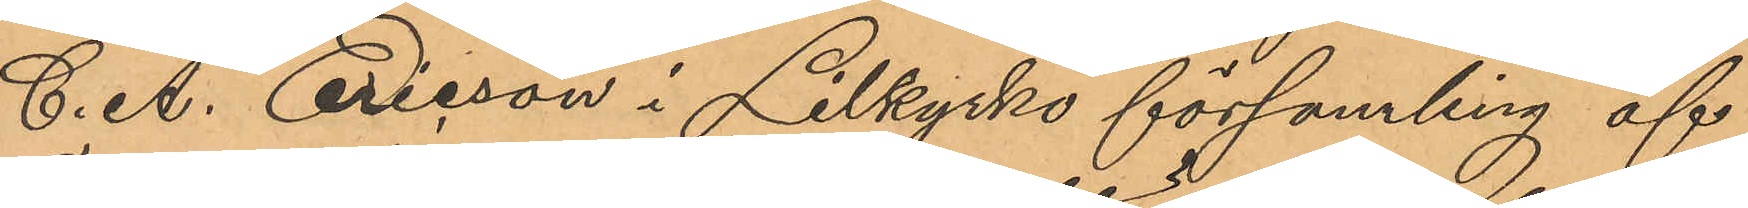C. A. Erisson i Lilkyrko församling af
